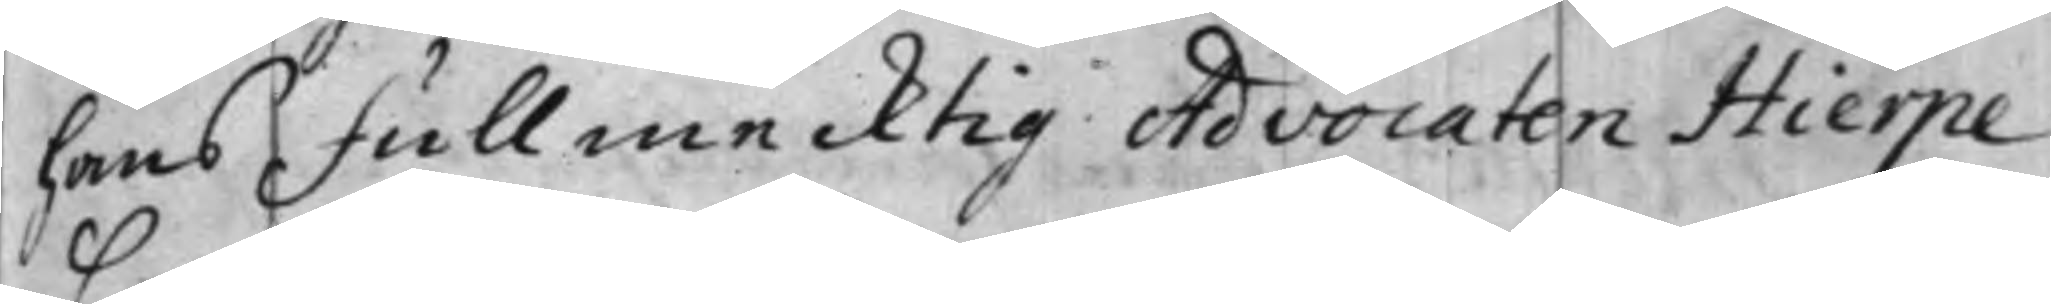hans Fullmecktig Advocaten Hierpe
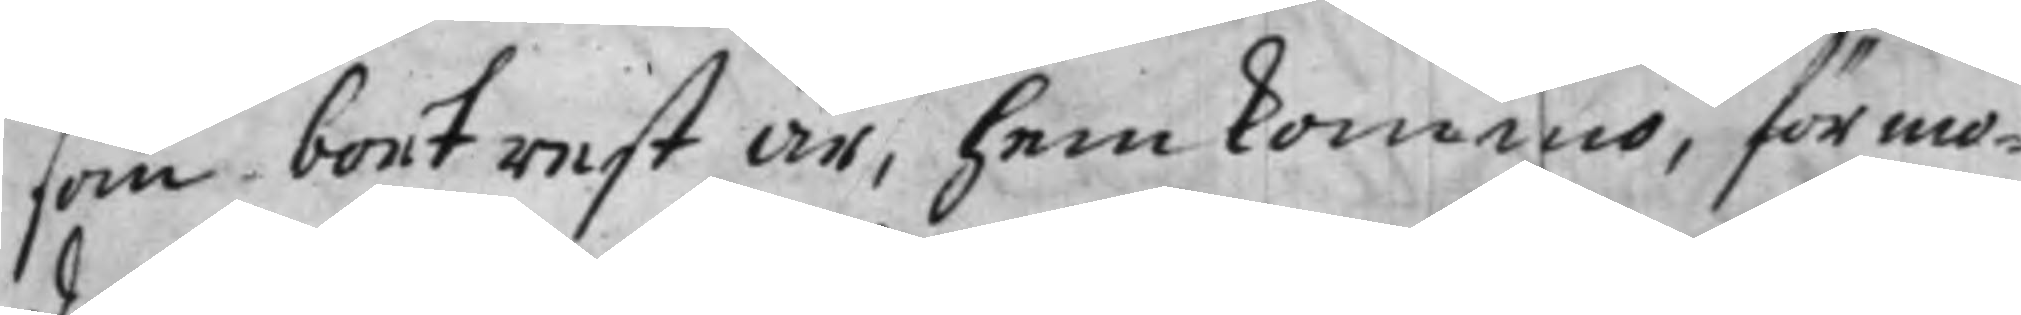som bortest är, hemkommo, förmo¬
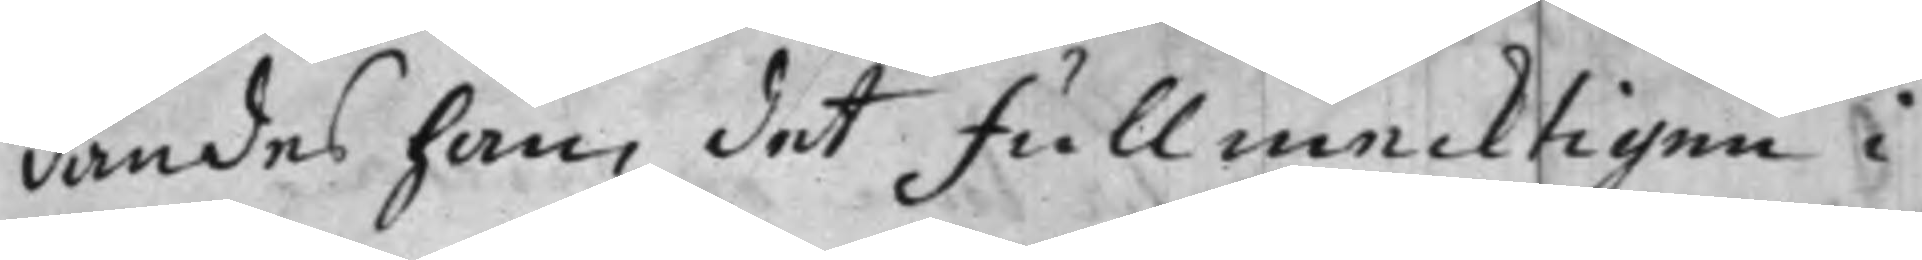dandes han, det Fullmecktigen i
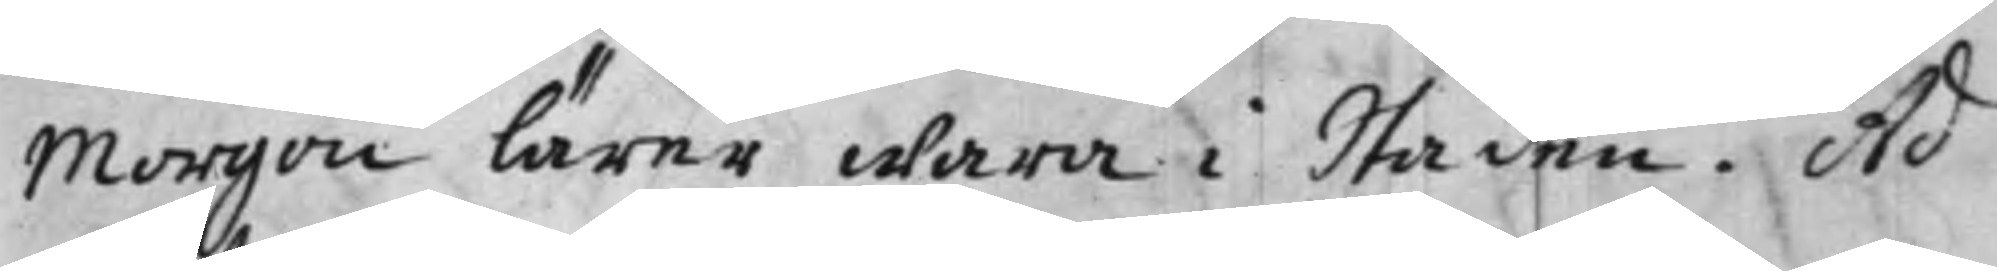Morgon lärer wara i Staden. Ad¬
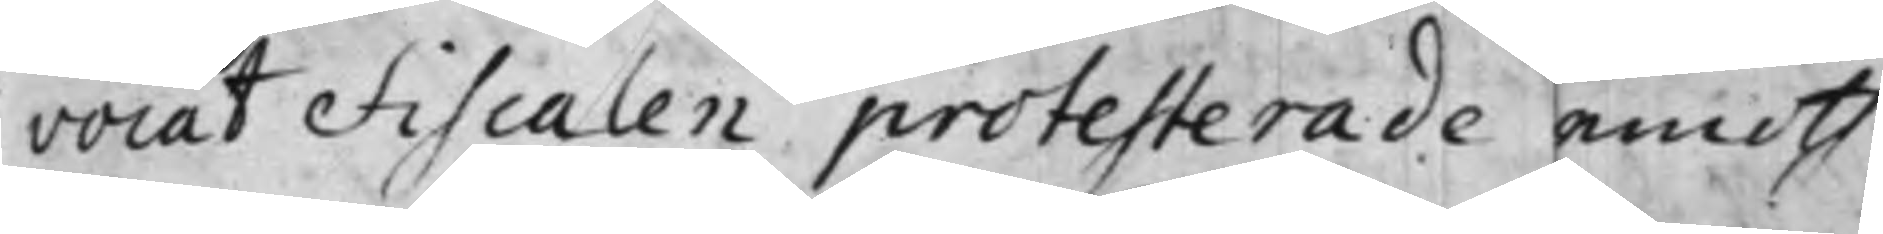vocat Fiscalen protesterade emoth
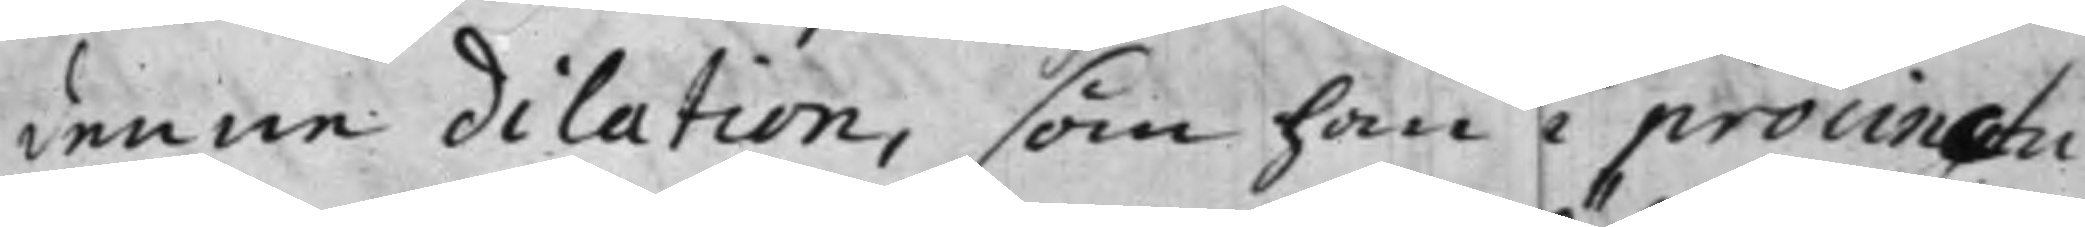denne dilation, som han i procinctu
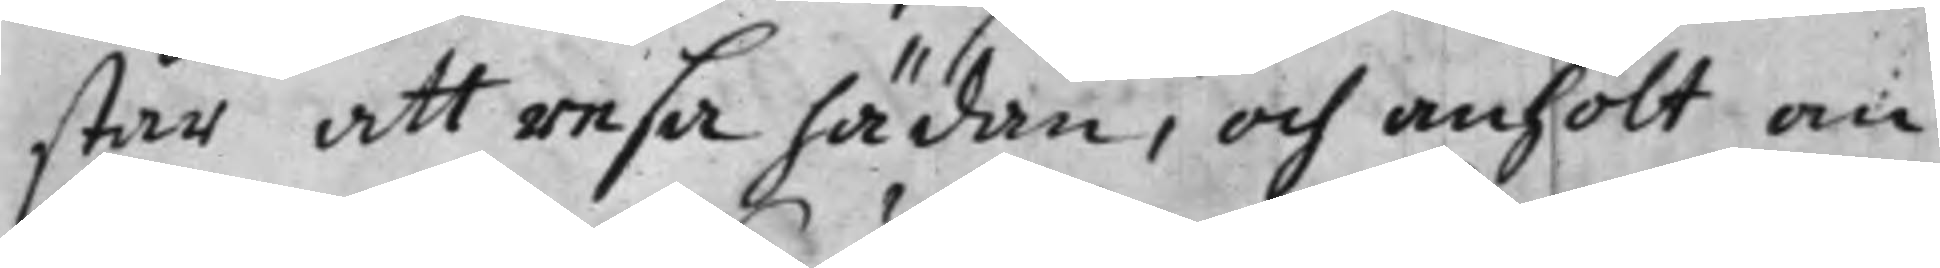står att resa hädan, och anhölt om
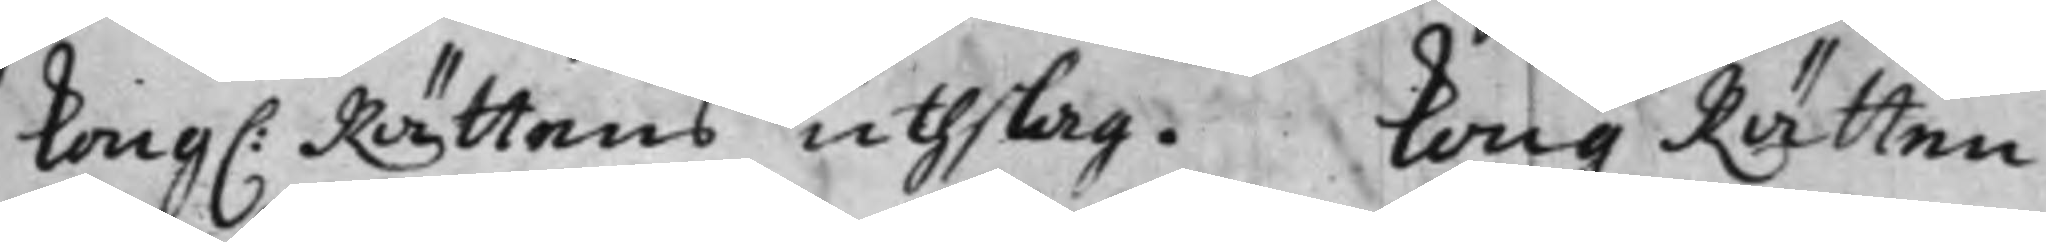Kong: Rättens uthslag. Kong. Rätten
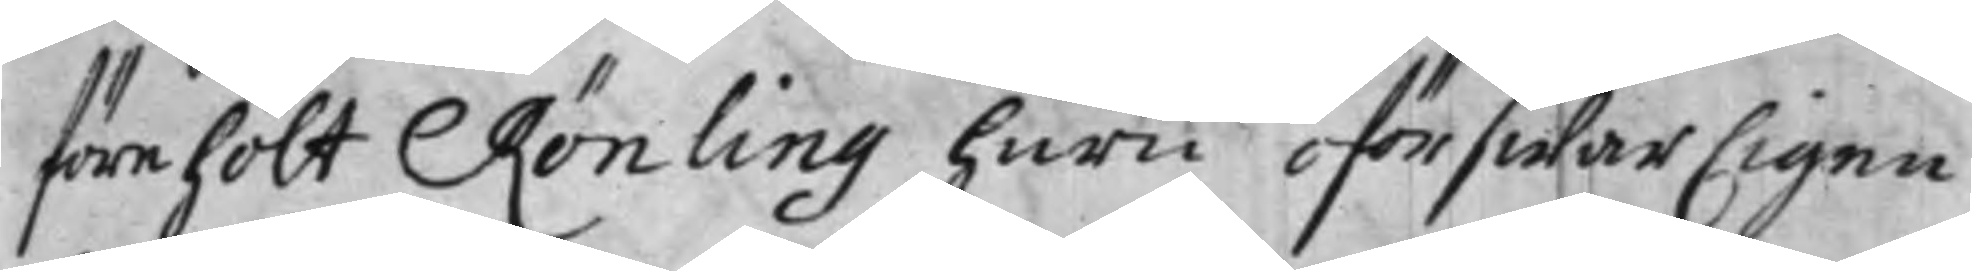förehölt Rönling huru oförswarligen
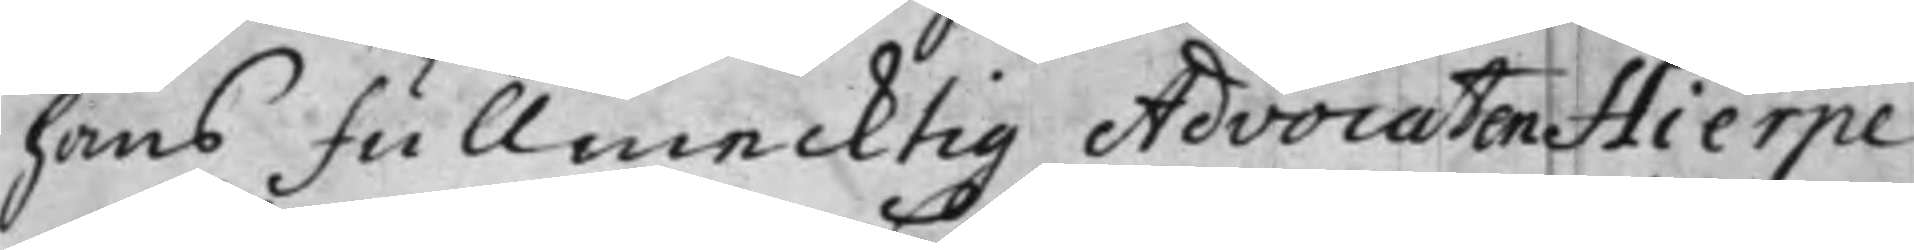hans Fullmecktig Advocaten Hierpe
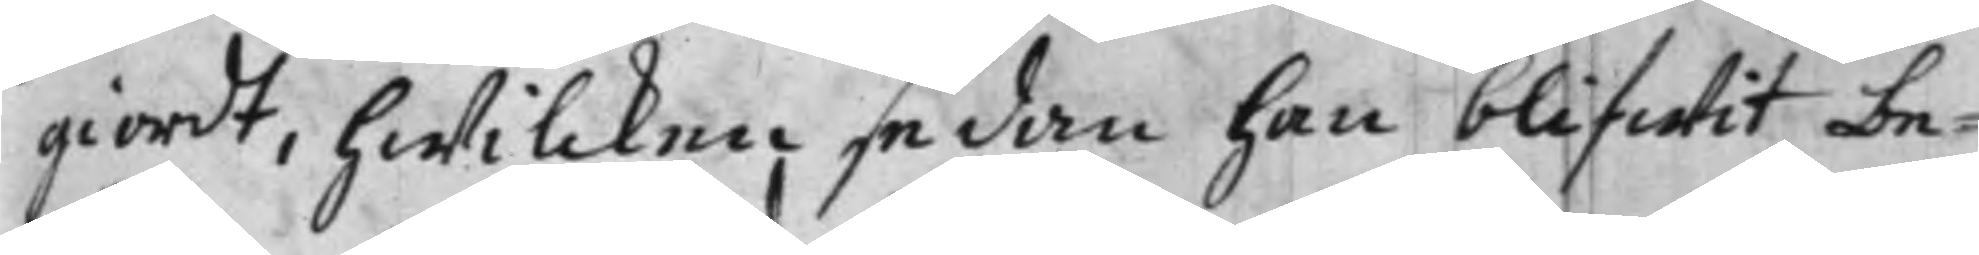giordt, hwilcken sedan han blifwit be¬
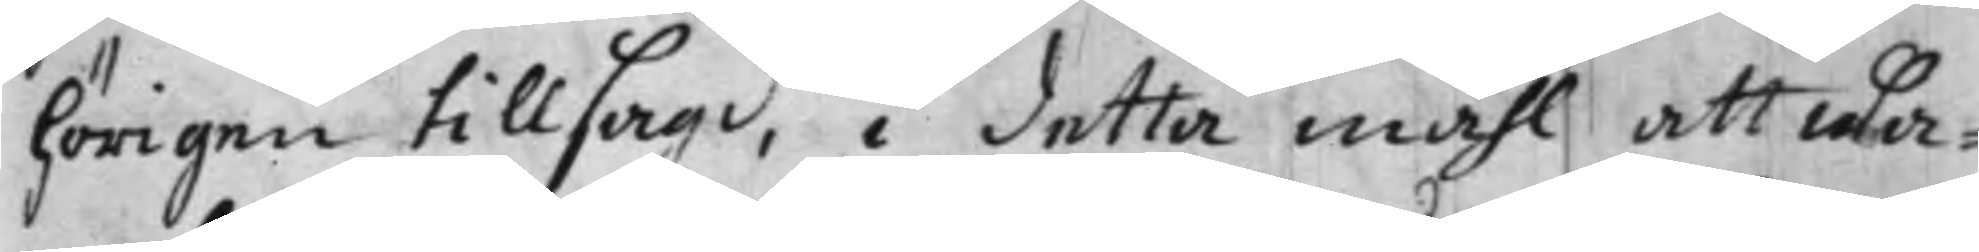hörigen tillsagd, i detta måhl att wa¬
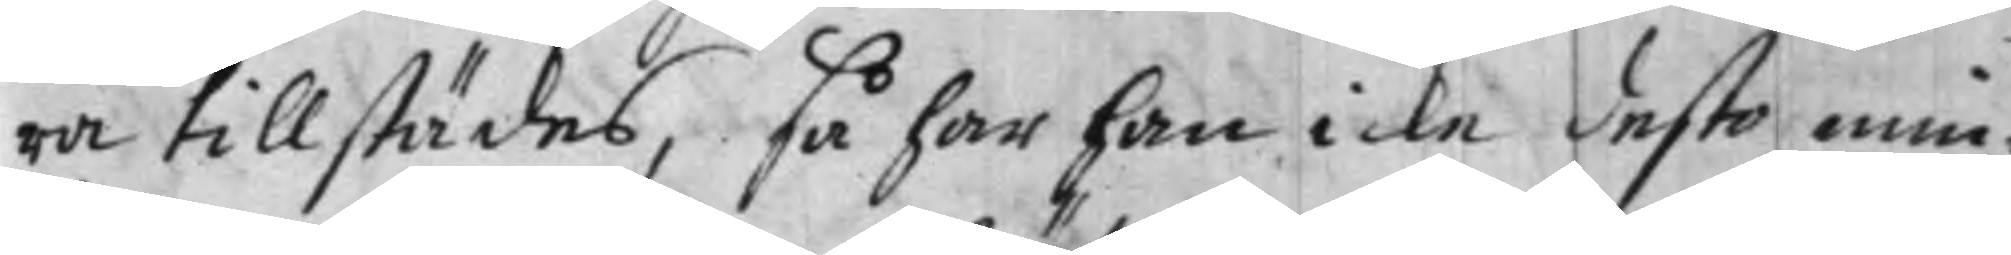ra tillstädes, så har han icke desto min¬
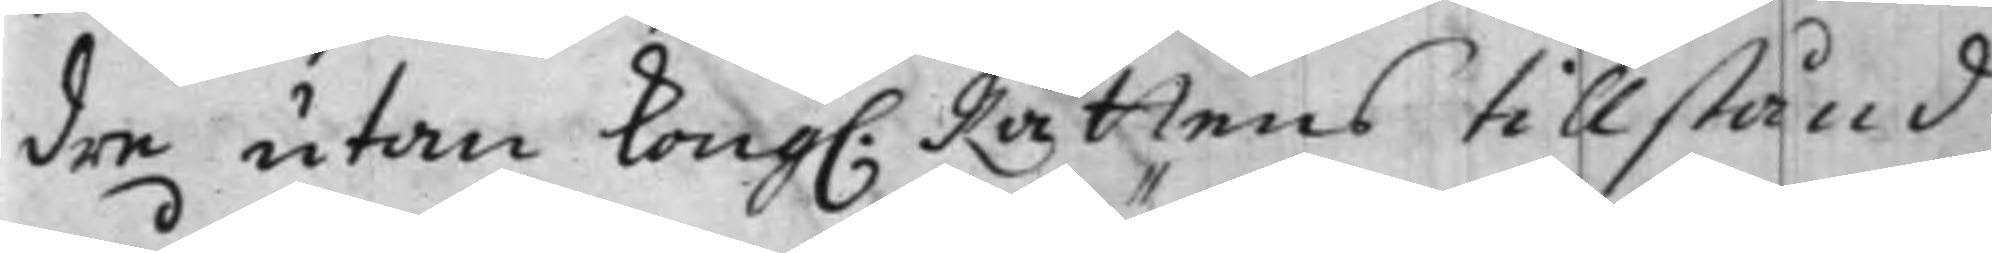dre utan Kong. Rättens tillstånd
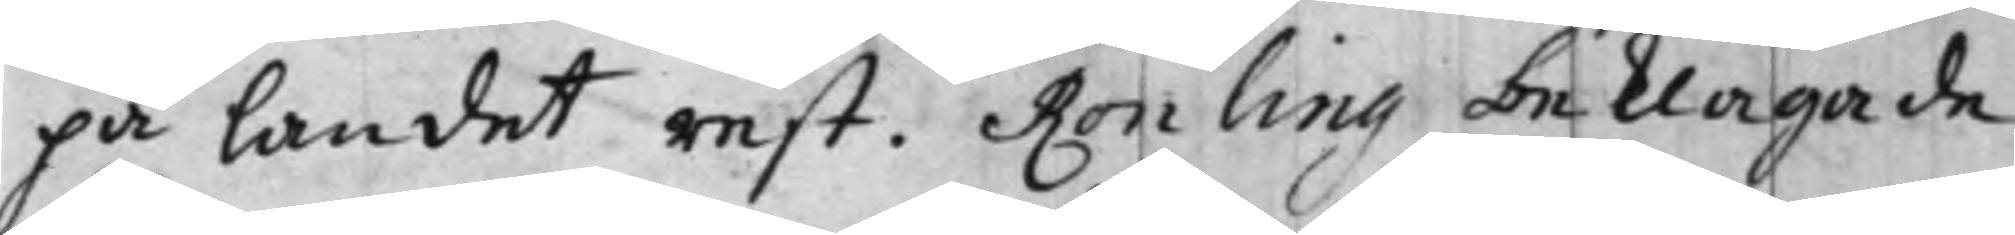på landet rest. Rönling beklagade
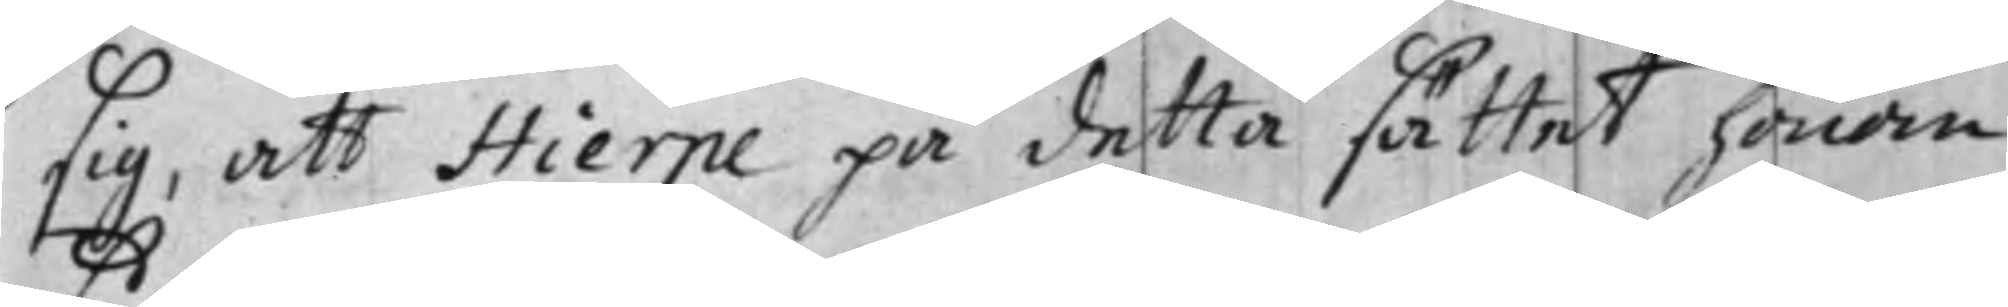sig, att Hierpe på detta sättet honom
